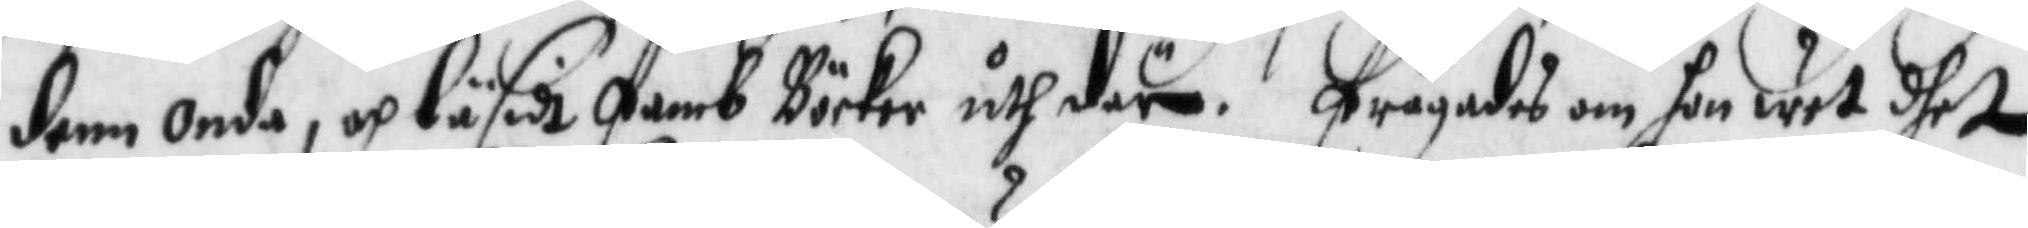denn onde, och läsidt femb Böcker uth där. frågades om hon wet dhet
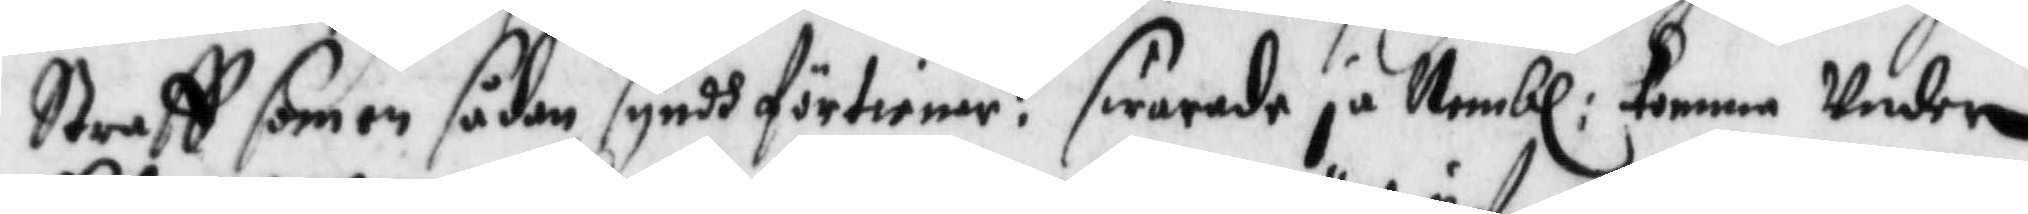Straff som en sådan syndh förtienar? swarade ja Nembl: komma Under
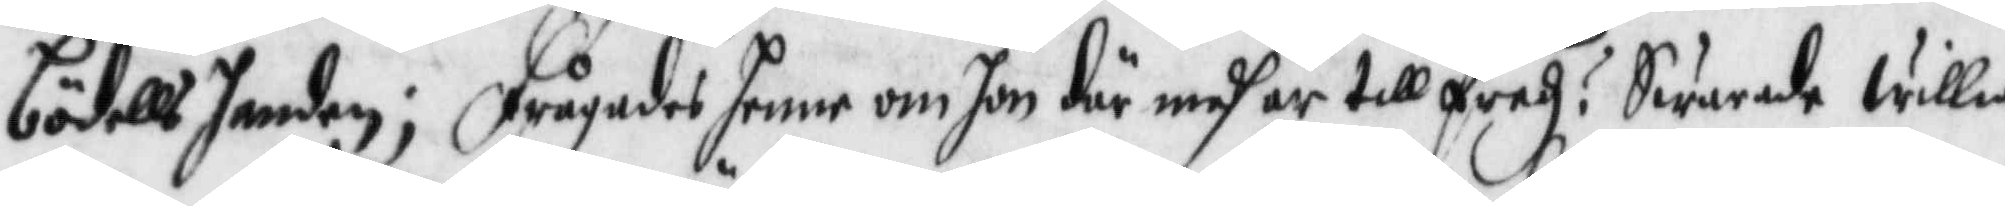bödellshanden; frågades henne om hon där medh är tillfredz? Swarade willia
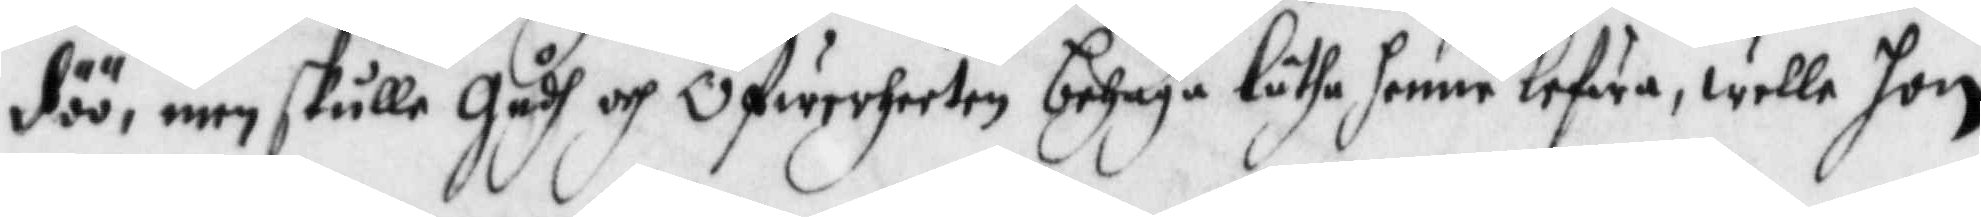döö, men skulle gudh och Öfwerheeten behaga låtha henne lefwa, wille hon
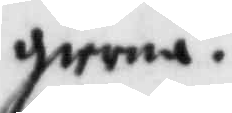gierna.
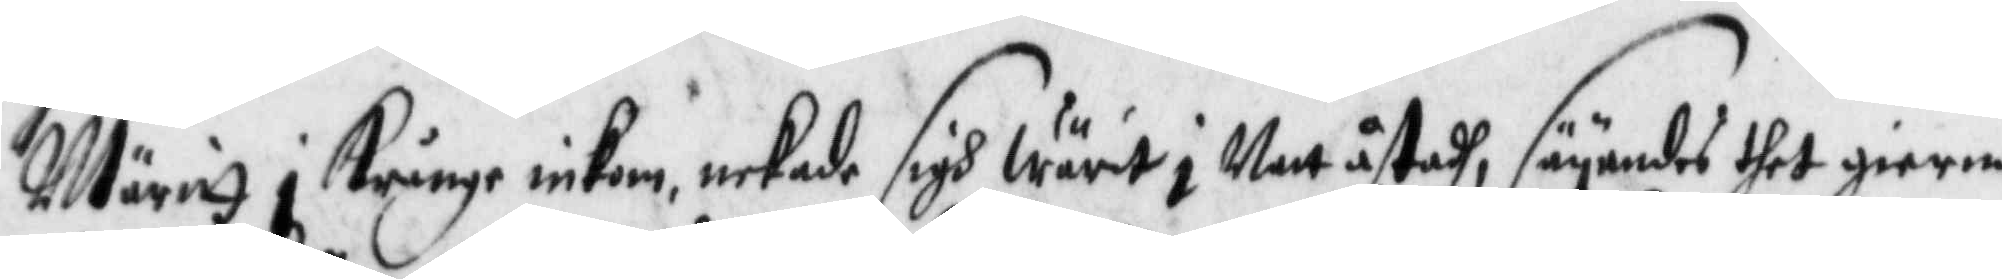Märitt i Krånge inkom, nekade sigh wärit i Natt åstadh, säyandes thet gierna
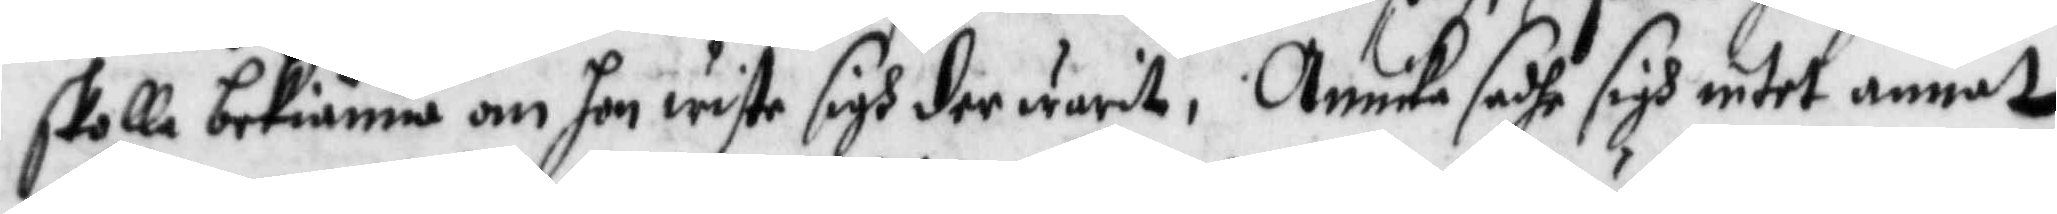skolla bekiänna om hon wete sigh der warit, Annika sadhe sigh intet annat
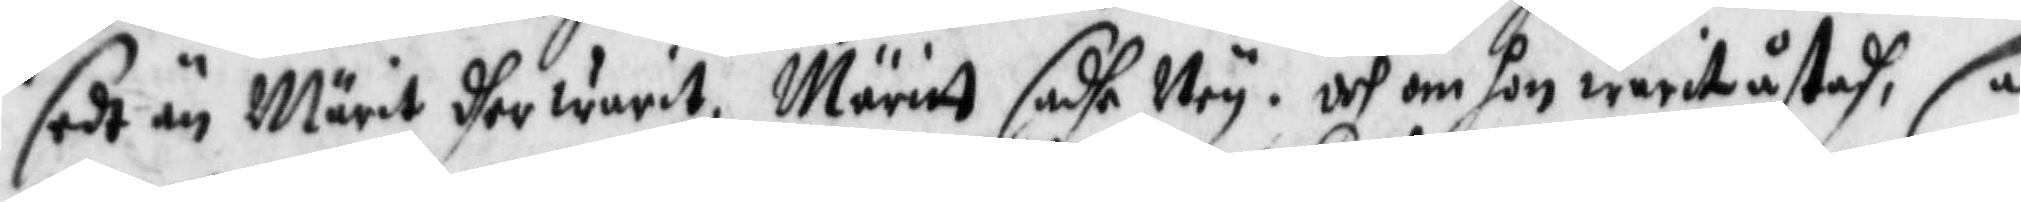sedt än Märit dher warit, Märitt sadhe Ney, och om hon warit åstadh, så
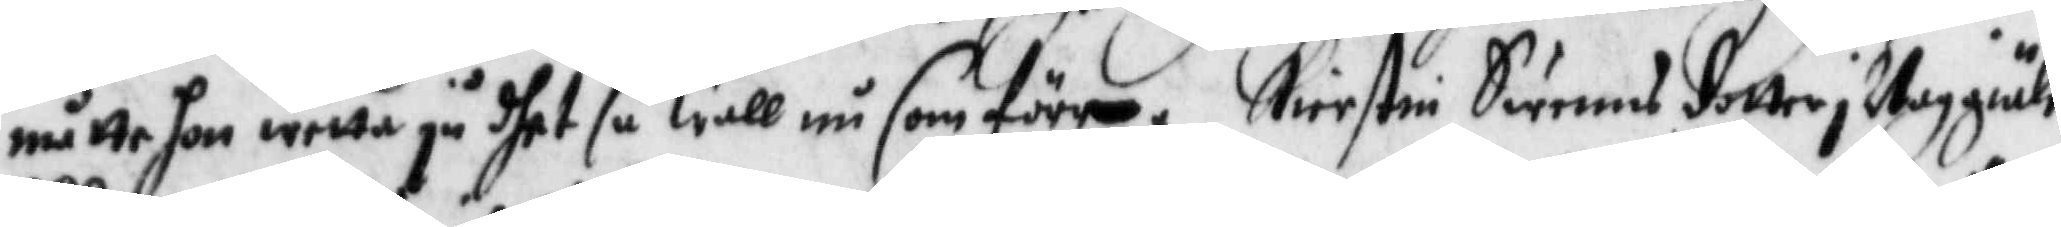måtte hon wetta på dhet så wäll som förre. Kierstin Swenns dotter i Noggiähle,
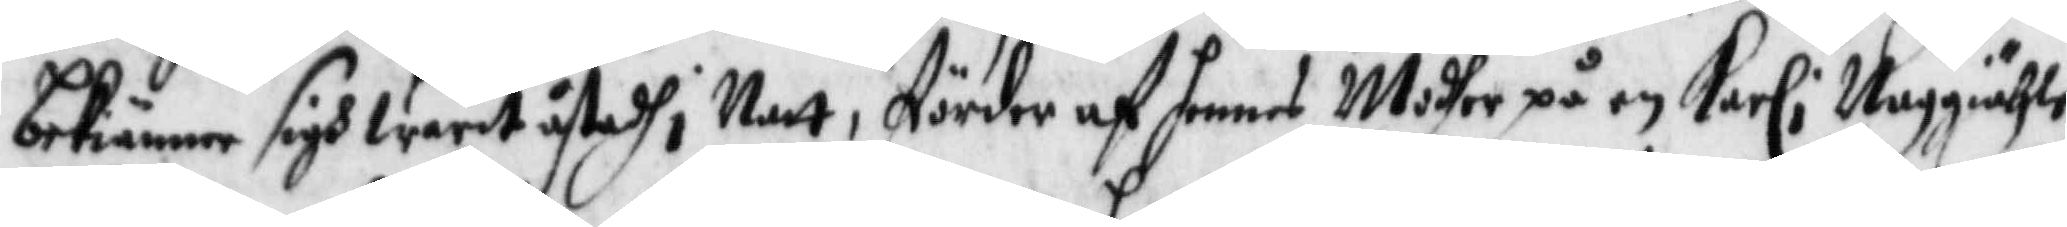bekiänner sigh warit åstadh i Natt, förder af hennes Modher på en Karl i Noggiähle,
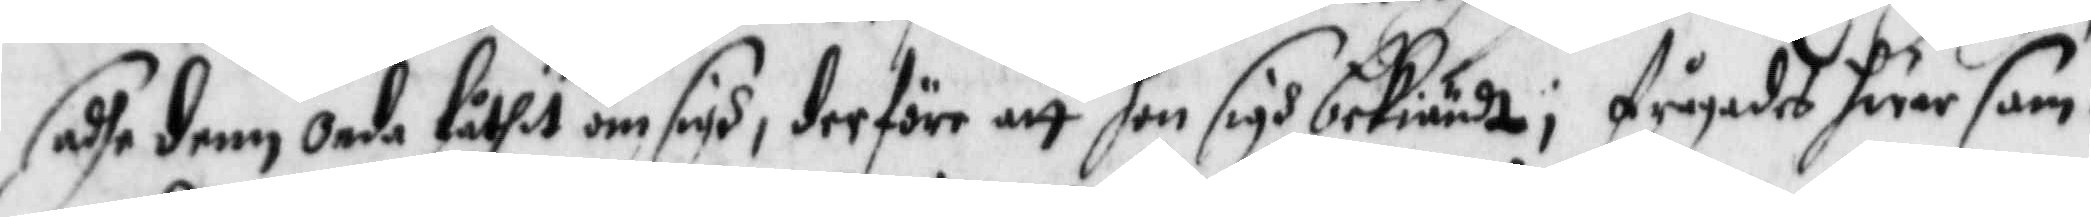sadhe denn onde låthet om sigh, derföre att hon sigh bekiände; frågades hwar sam¬
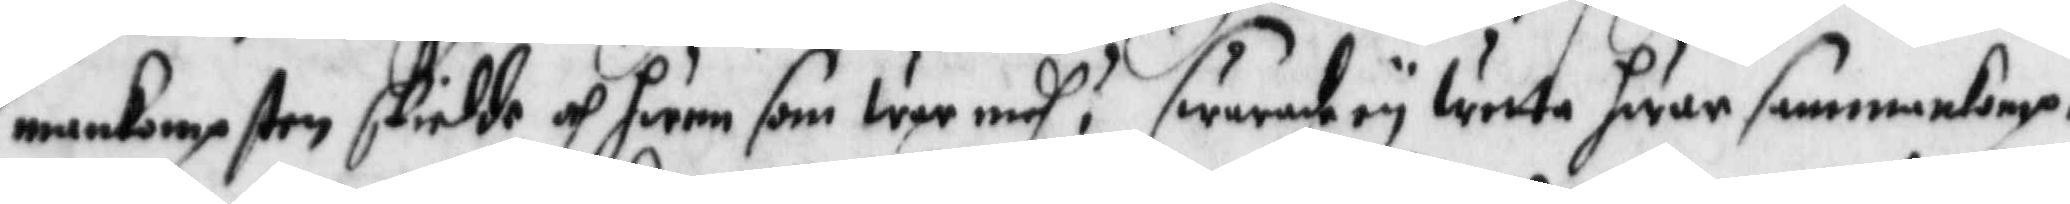mankompsten skiedde och hwem som war medh? swarade wetta hwar sammankomp¬
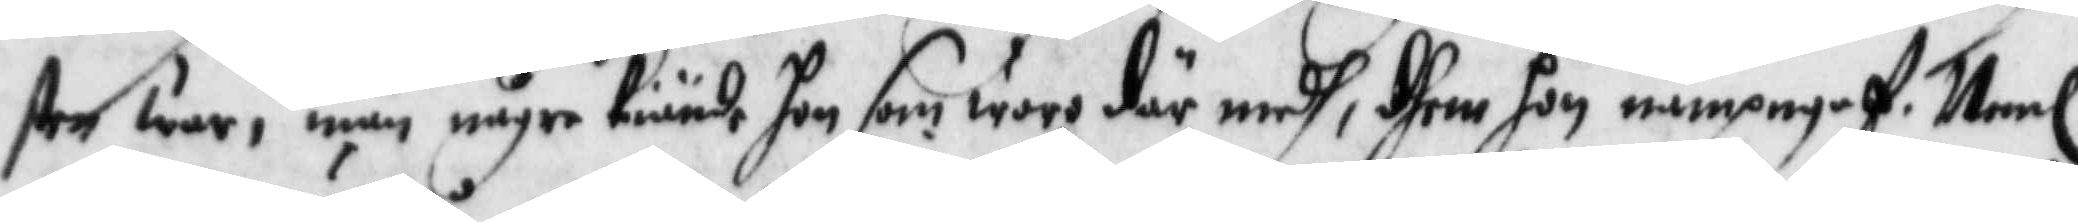sten war, män någre Kiände hon som wore där edh, dhem hon nampgaf, Neml:
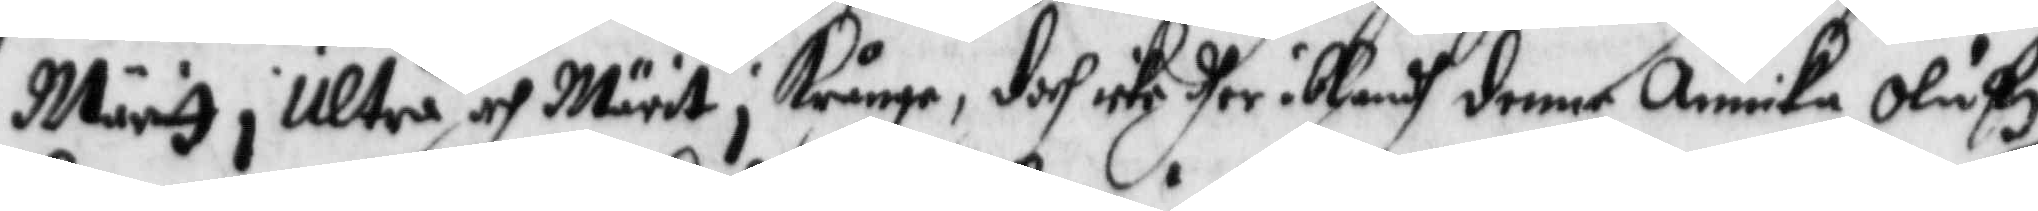Märitt i Ultrå och Märit i Krånge, doch icke dher iblandh denne Annika Olufz
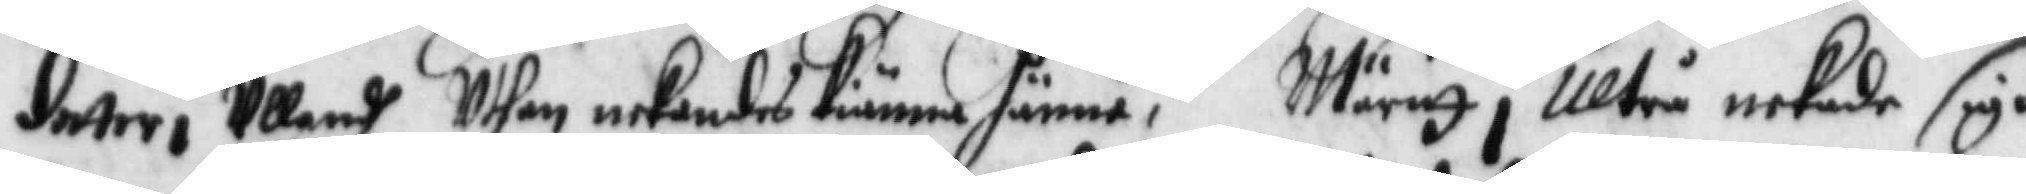dotter i Ullandh, Uthan nekandes Kiänna hänne; Märitt i Ultrå nekade sigh
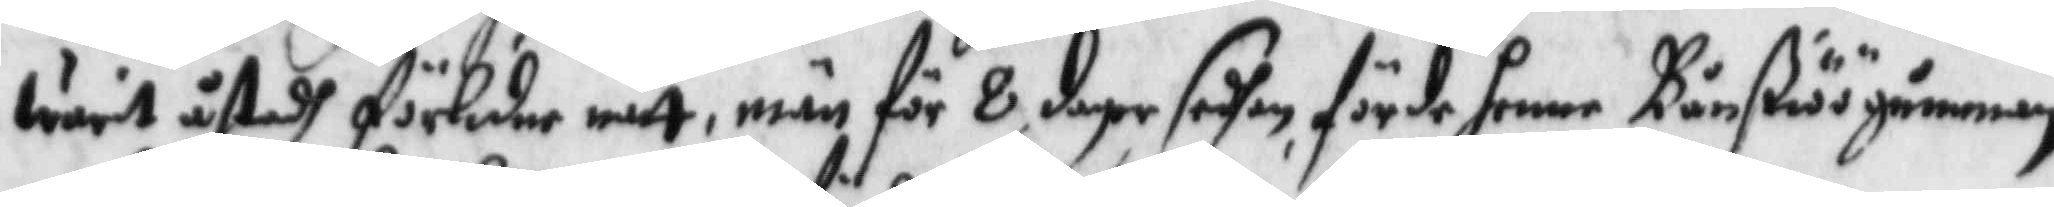warit åstadh förledne natt, män för 8 dagar sedhan, förde hennen Bånßiöögumman
